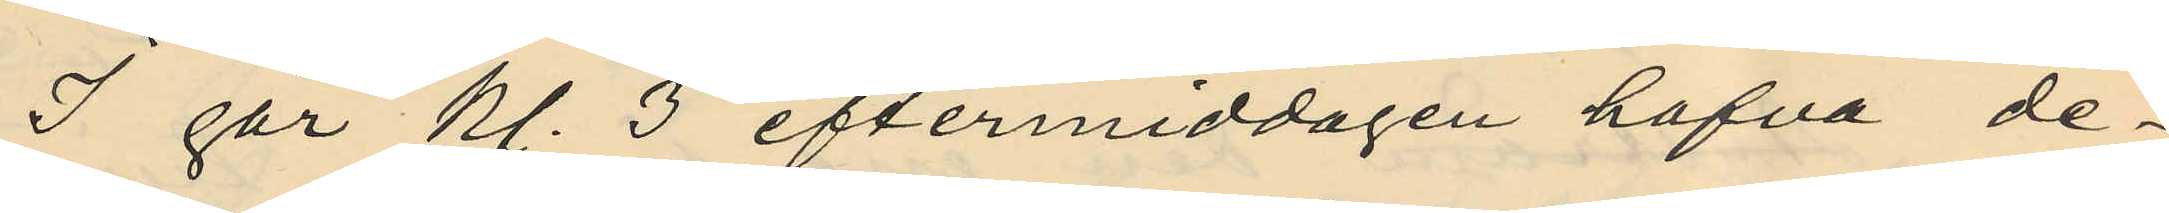I går kl. 3 eftermiddagen hafva de¬
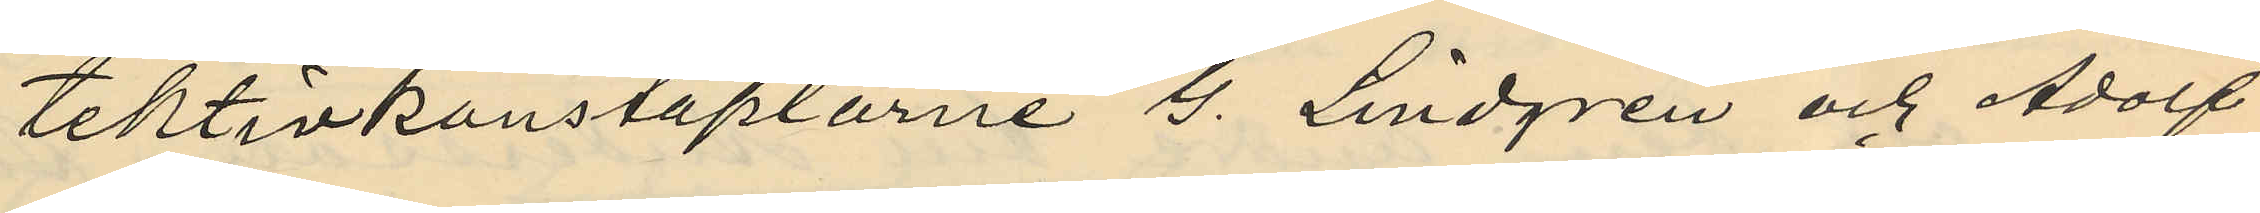tektivkonstaplarne G. Lindgren och Adolf
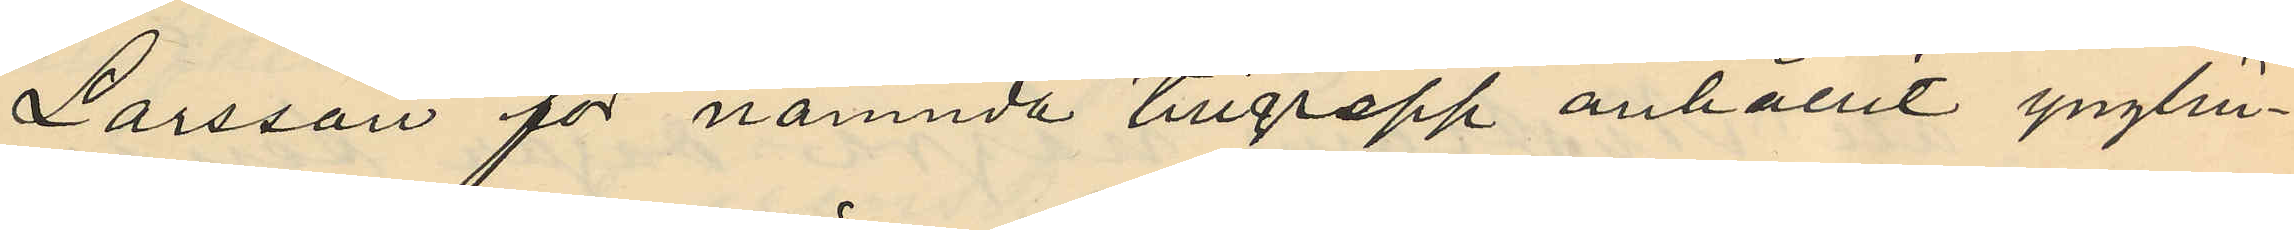Larsson för nämnda tillgrepp anhållit ynglin¬
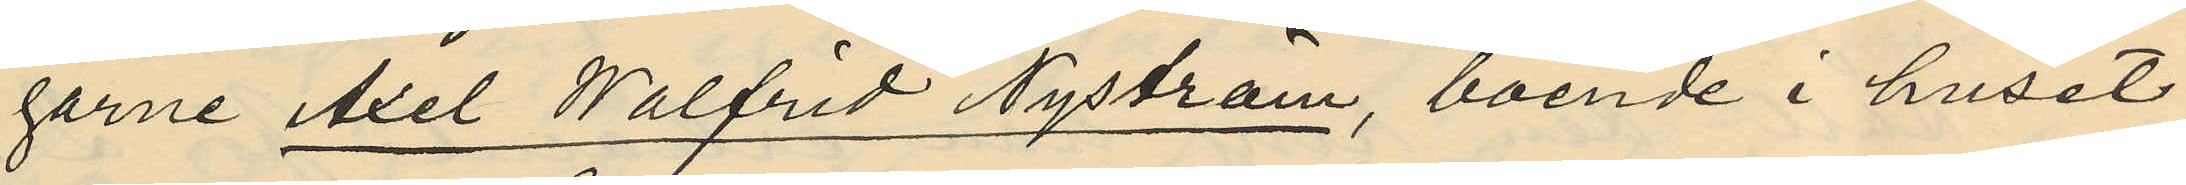garne Axel Walfrid Nyström, boende i huset
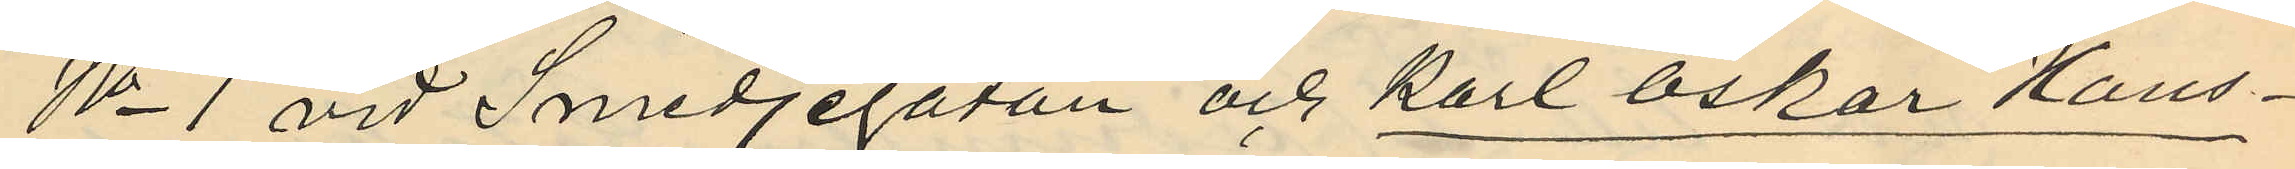No 1 vid Smedjegatan och Karl oskar Hans¬
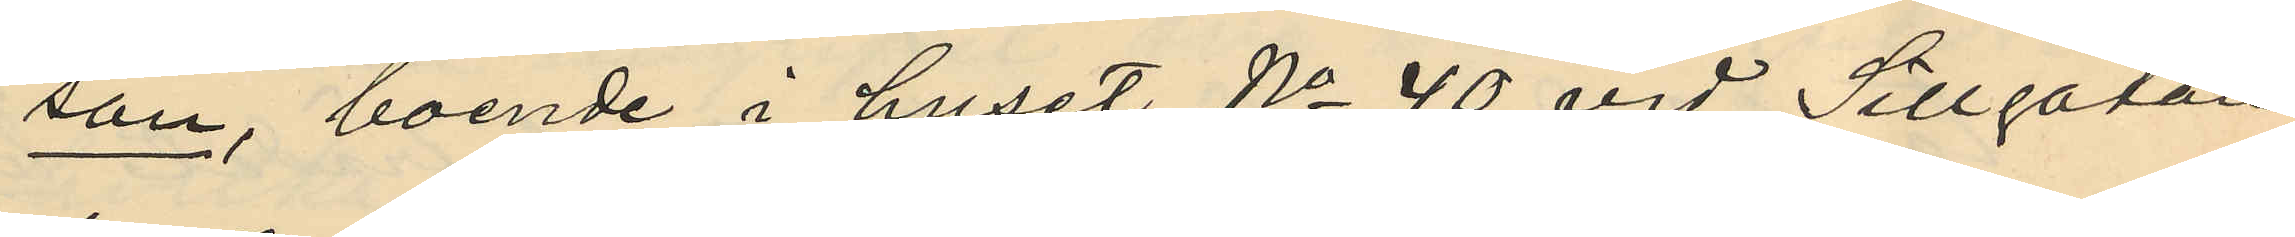son, boende i huset No 40 vid Sillgatan
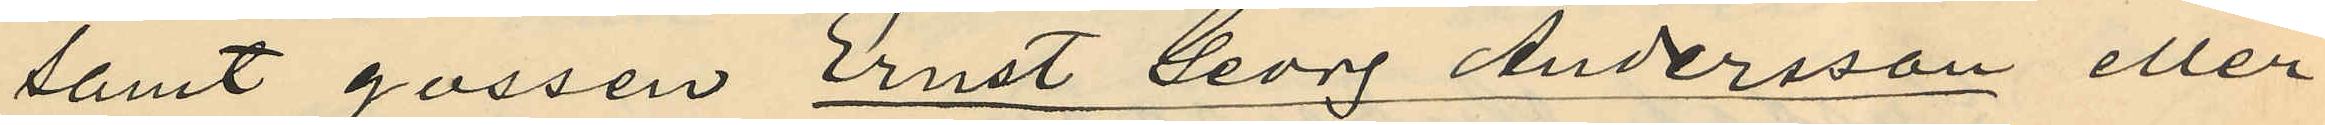samt gossen Ernst Georg Andersson eller
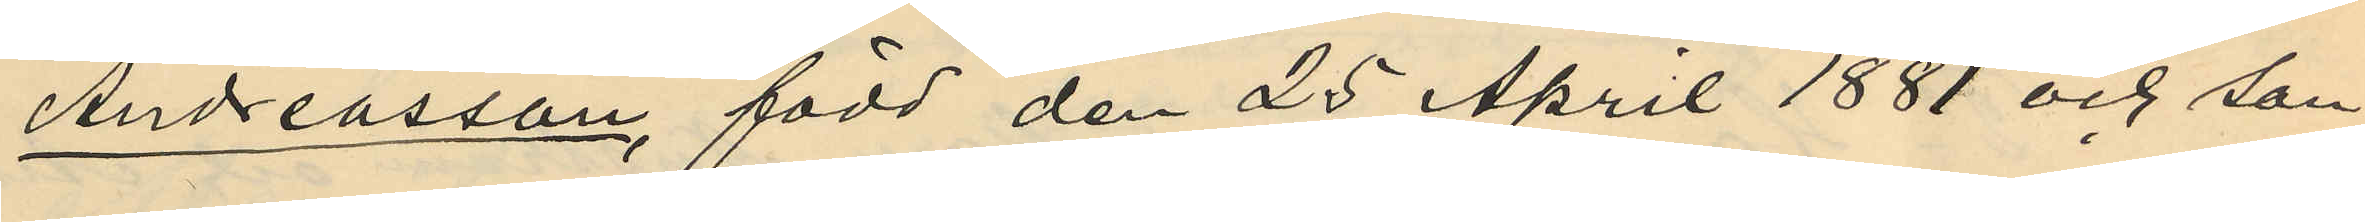Andreasson, född den 25 April 1881 och son
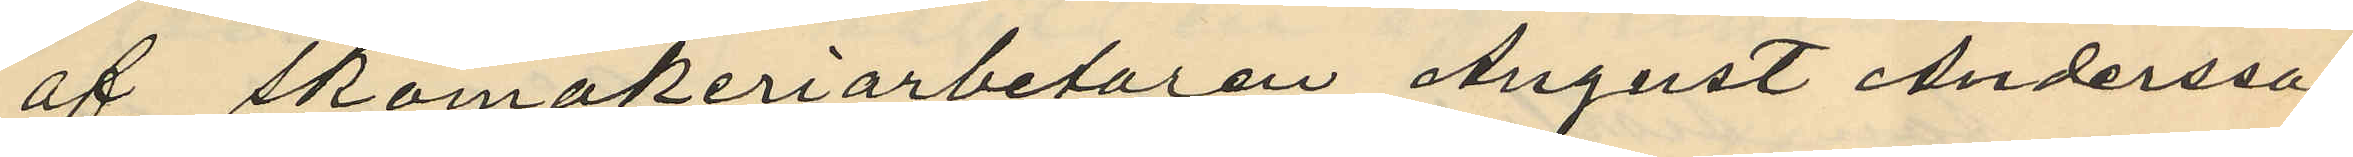af skomakeriarbetaren August Andersson
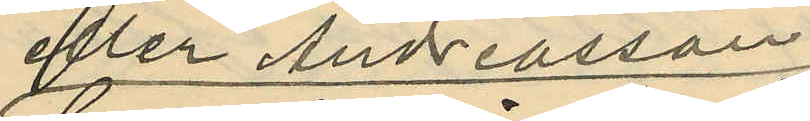eller Andreasson
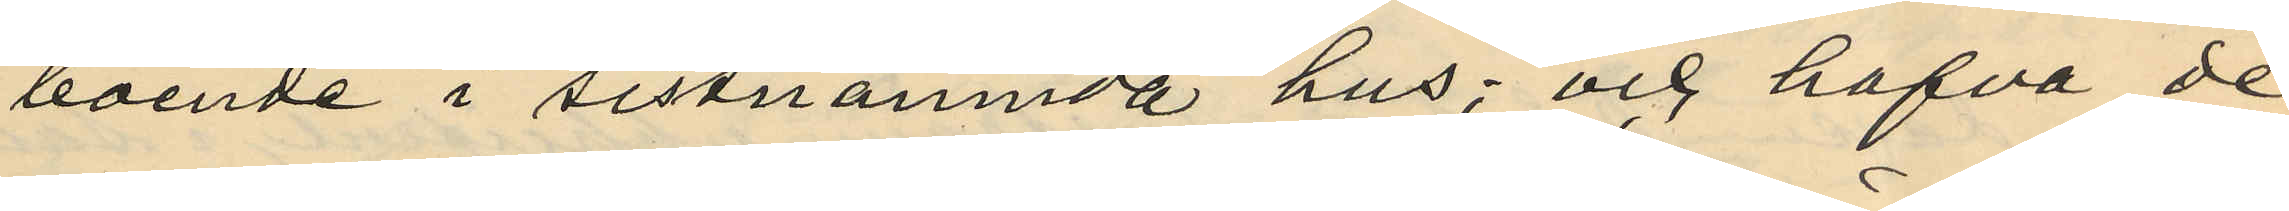boende i sistnämnda hus; och hafva de
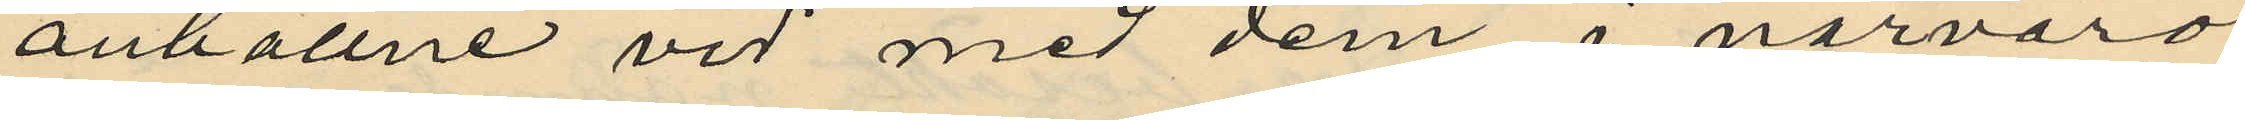anhållne vid med dem å närvaro
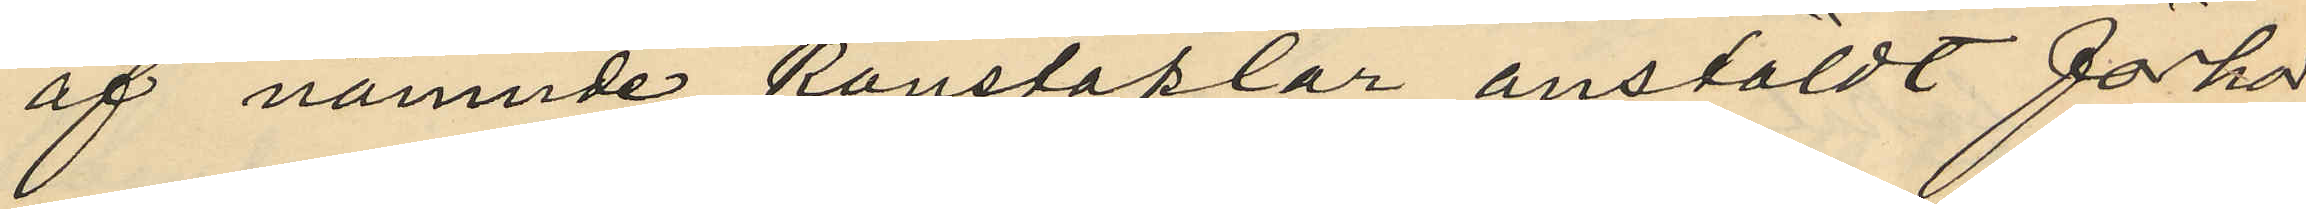af nämnde konstaplar, anstäldt förhör
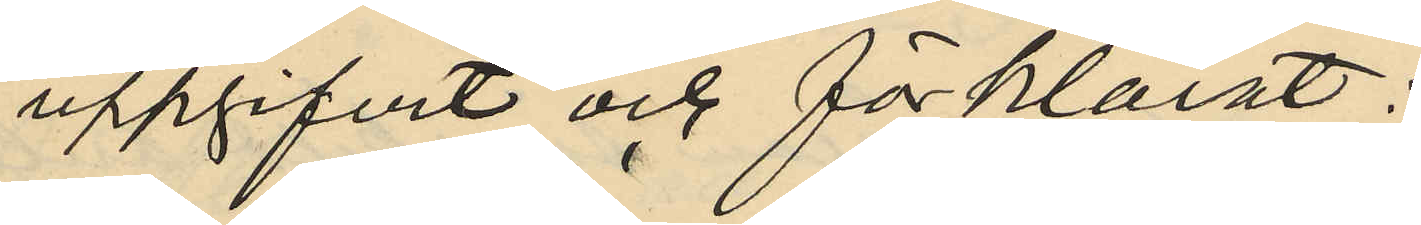uppgifvit och förklarat:
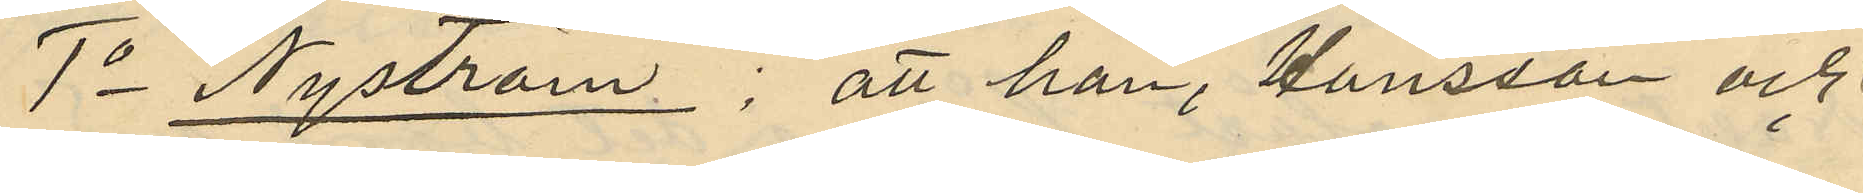1o Nyström; att han, Hansson och
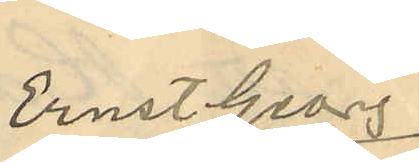Ernst Georg
